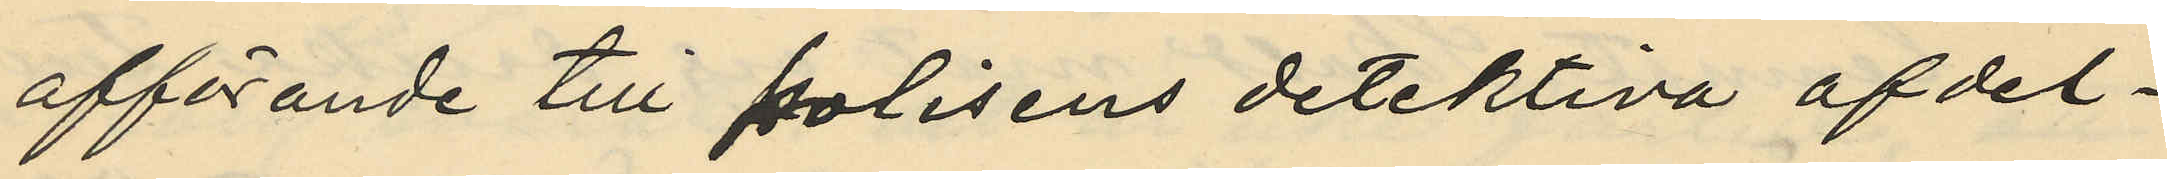afförande till polisens detektiva afdel¬
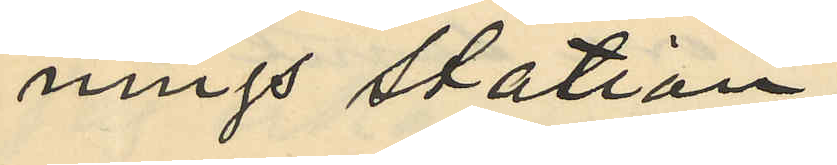nings station;
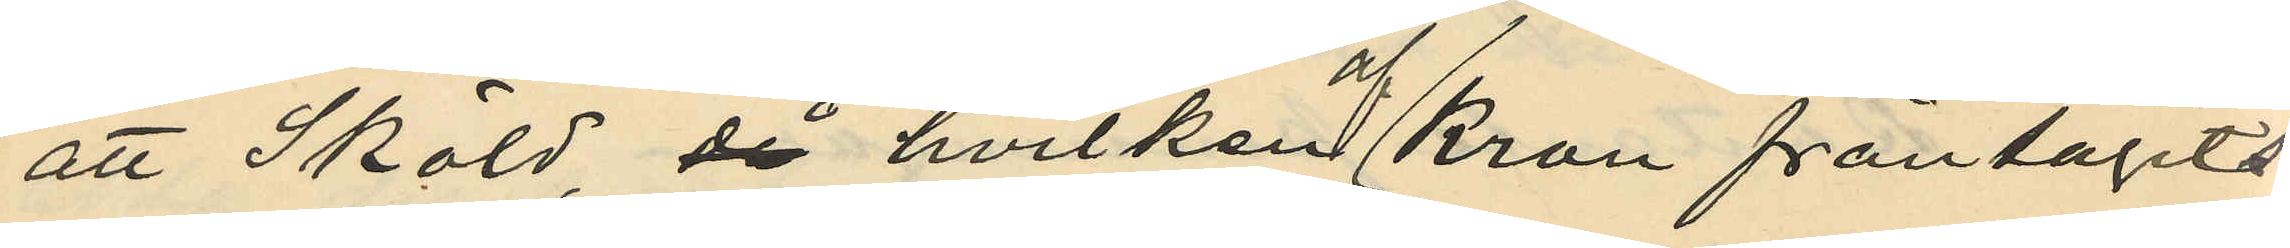att Sköld, då hvilken Kron fråntagits
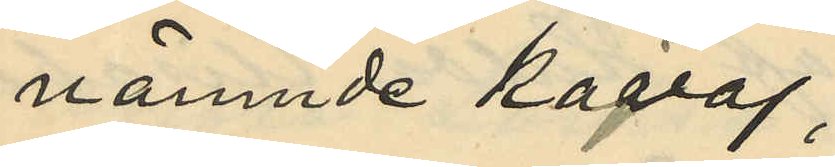nämnde kavaj
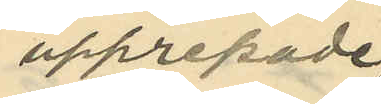upprepade
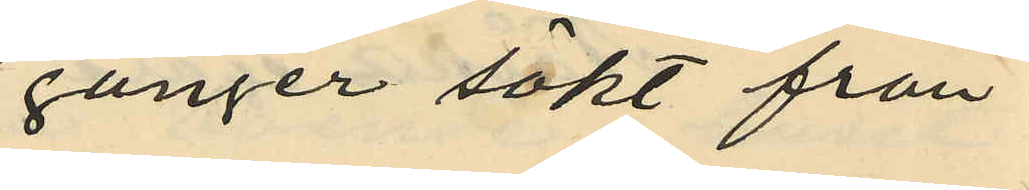gånger sökt från¬
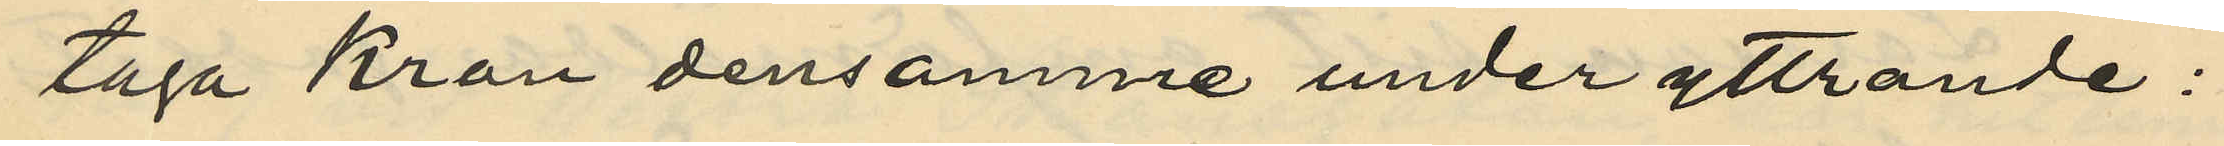taga kron densamme under yttrande:
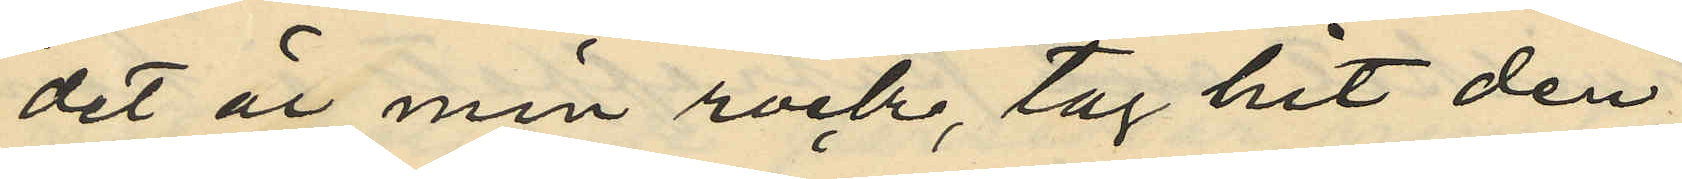det är min rock, tag hit den
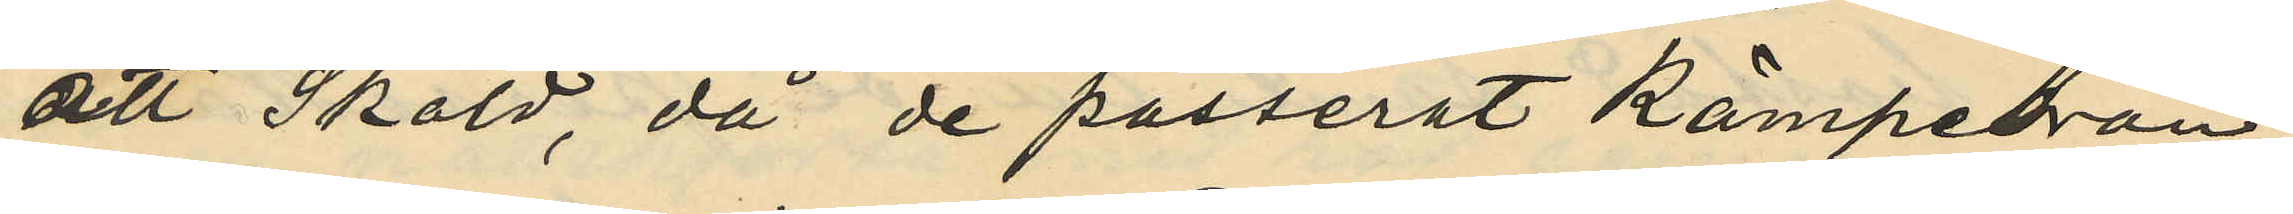att Sköld, då de passerat kämpebron
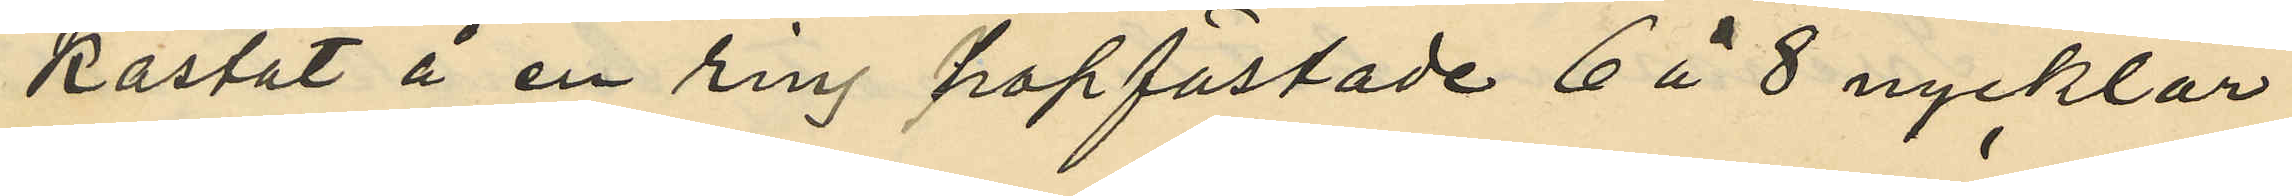kastat å en ring hopfästade 6 à 8 nycklar
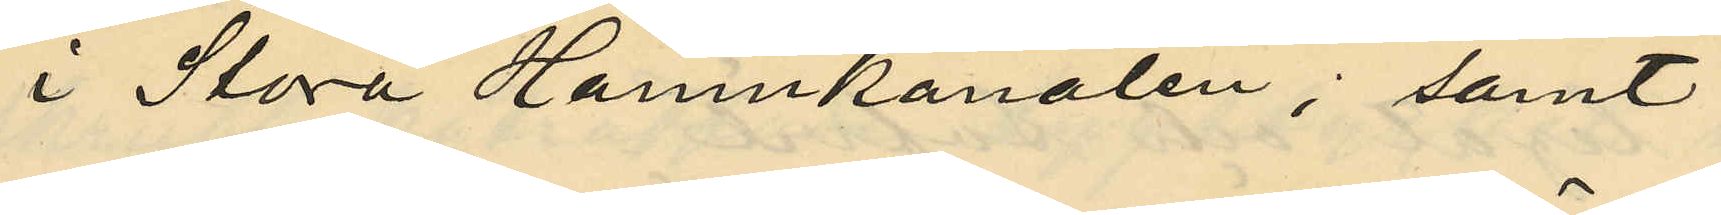i Stora Hamnkanalen; samt
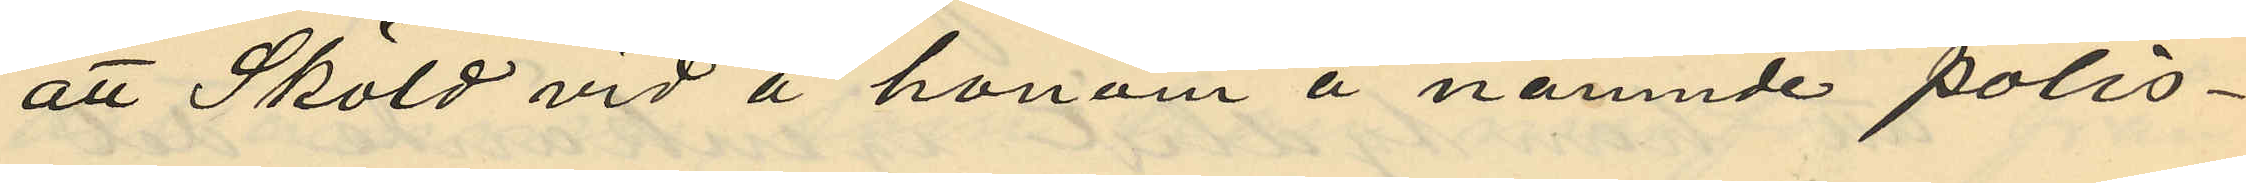att Sköld vid å honom å nämnde polis¬
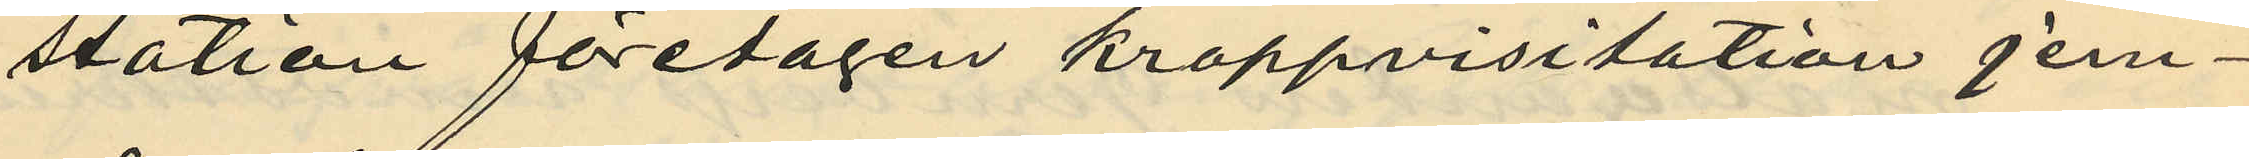station företagen kroppvisitation jem¬
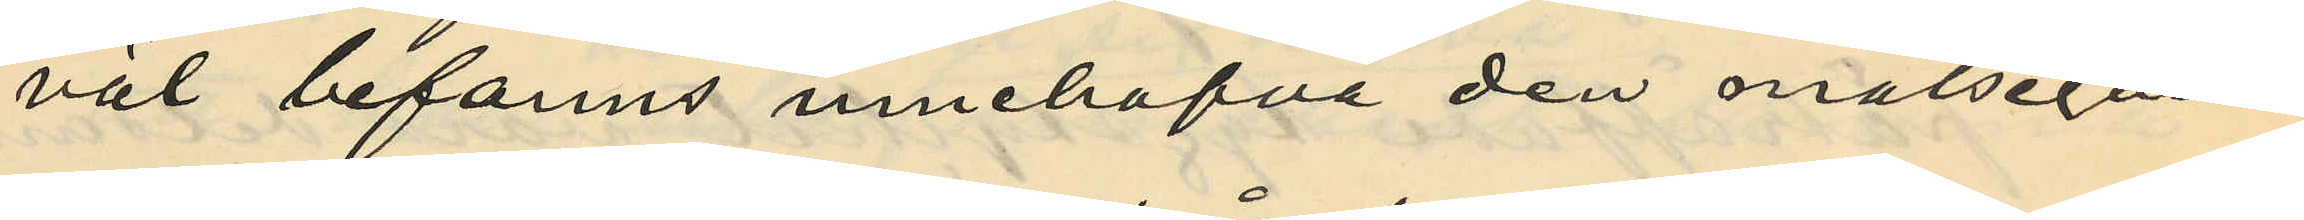väl befanns innehafva den målsegan¬
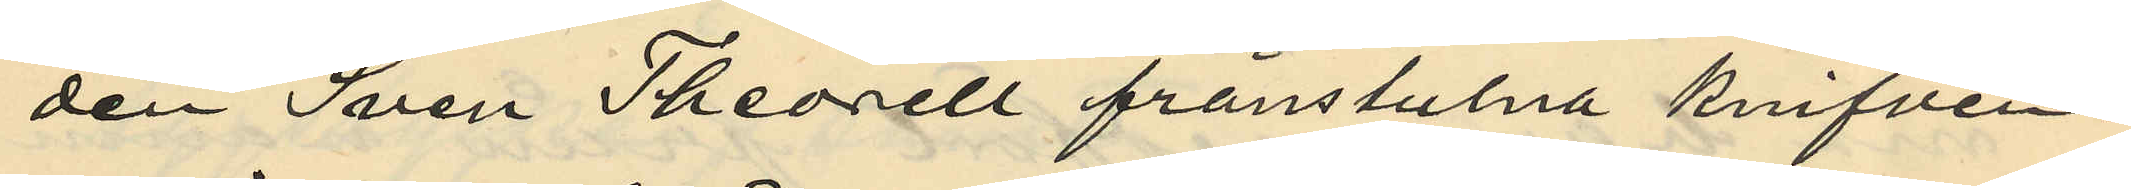den Sven Theorell frånstulna knifven.
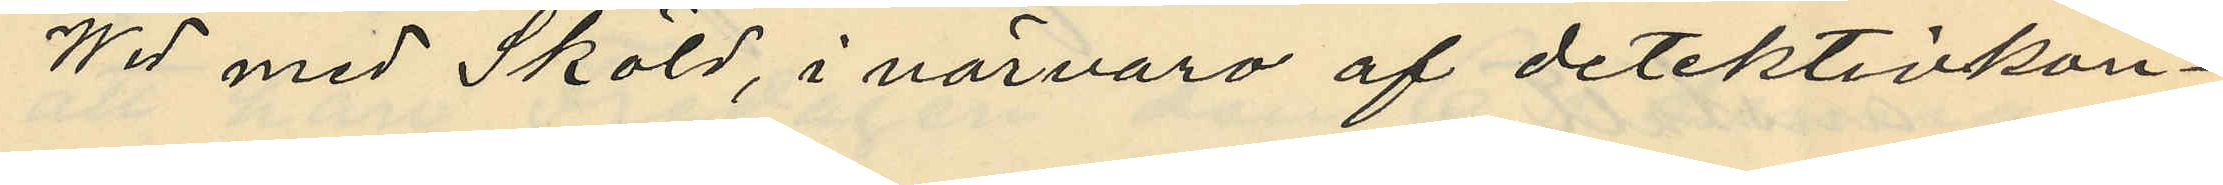Wid med Sköld, i närvaro af detektivkon¬
